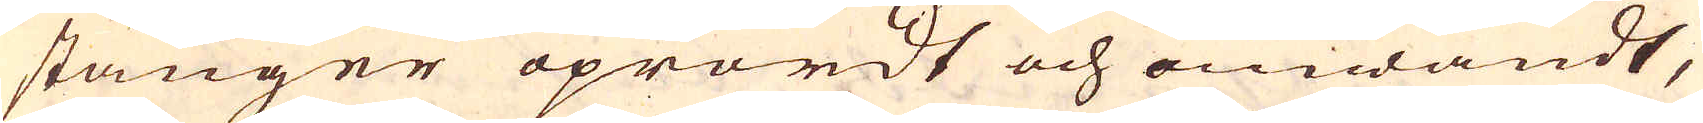stänger oprördt och omwändt,
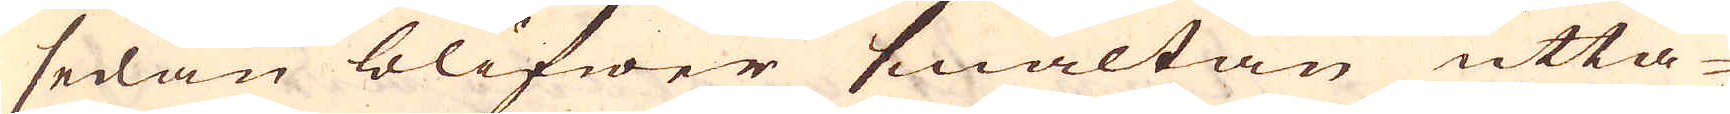sedan blifwer smältan utta-
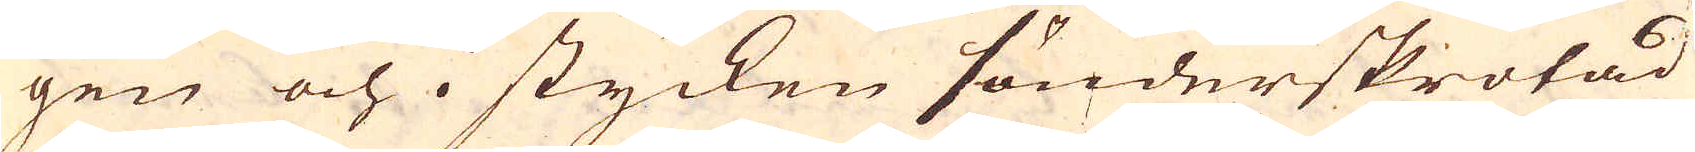gen och i stycken sönderskrotad
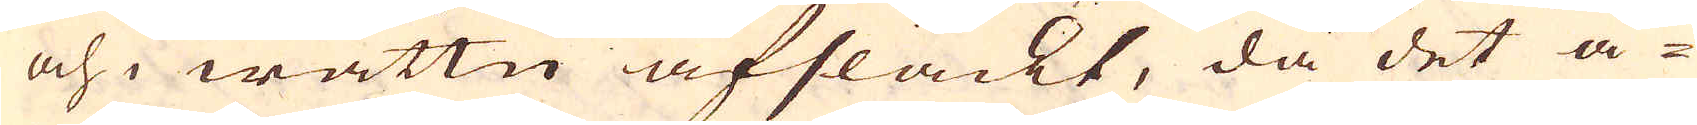och i wattn afsläckt, då det å-
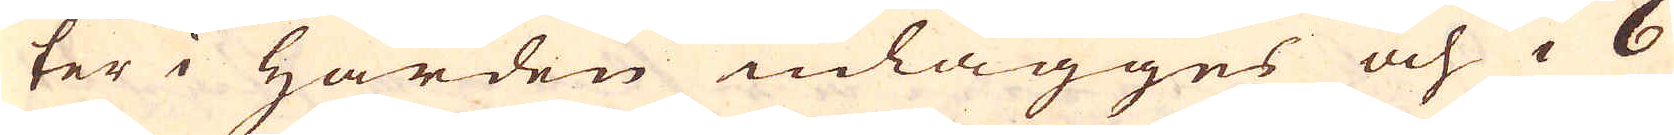ter i Härden inlägges och i 6
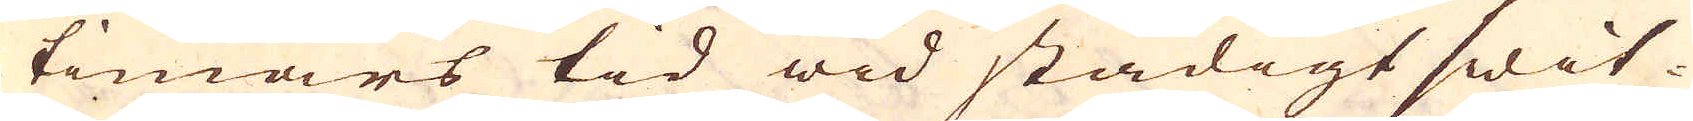timars tid wid stadigt swit-
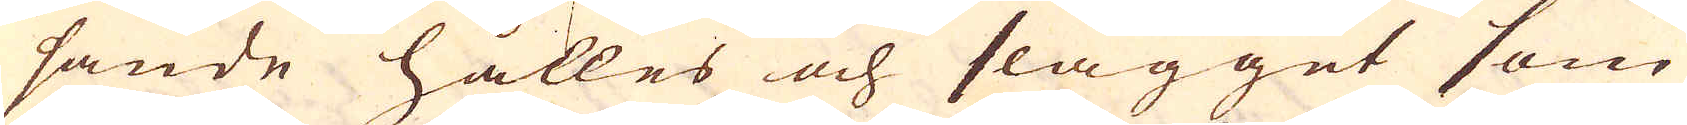sande hålles och slagget som
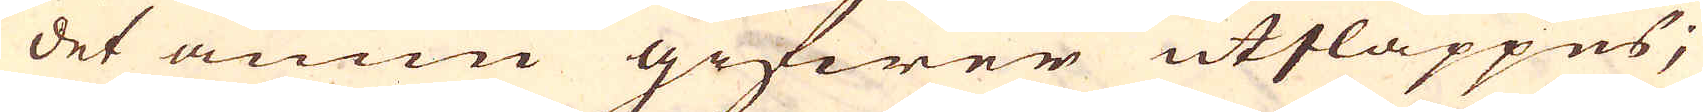det ännu gifwer utsläppes;
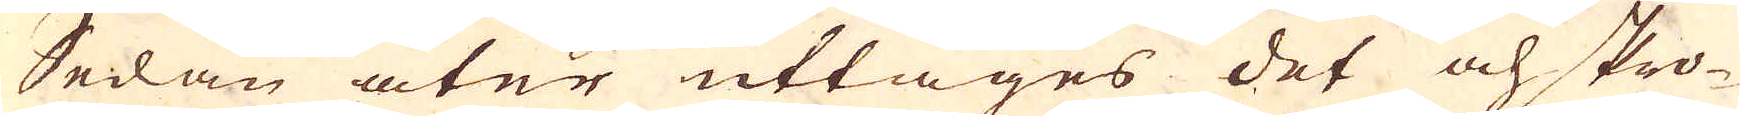Sedan åter uttages det och skro-
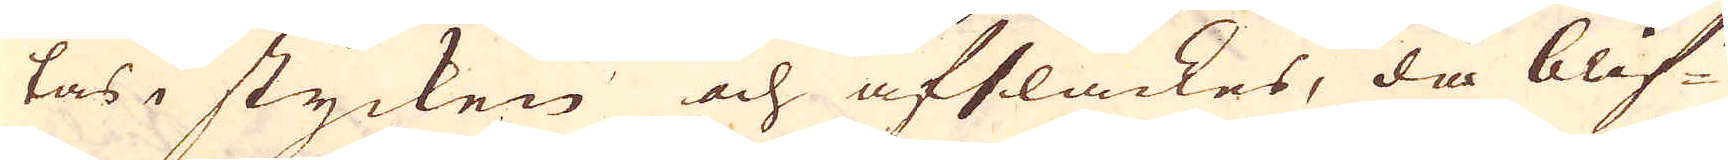tas i stycken och afsläckes, då blif-
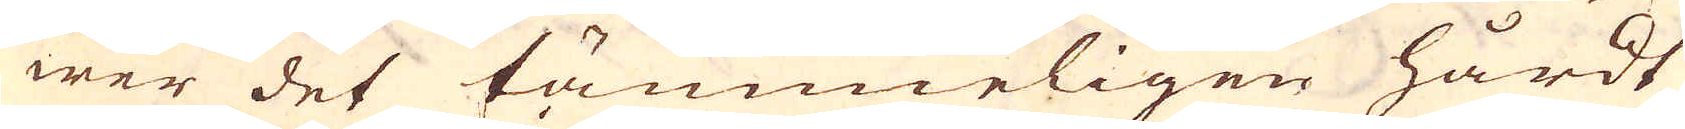wer det tämmeligen hårdt
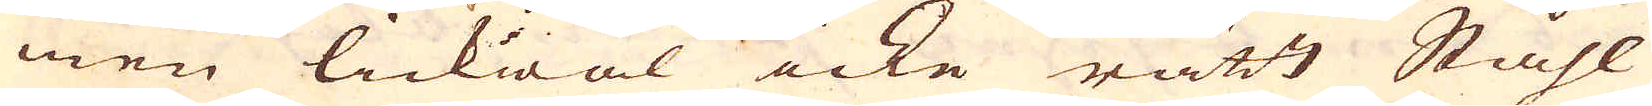men lickwäl icke rätt Ståhl
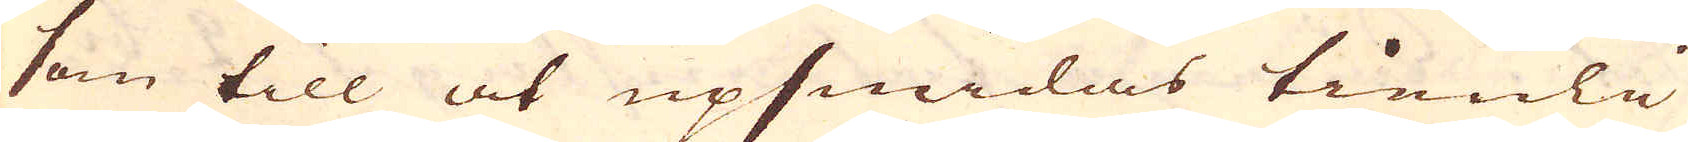som till at upsmidas tienli-
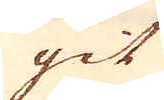git
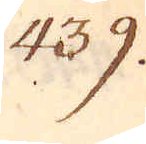439.
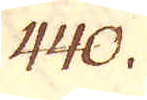440.
